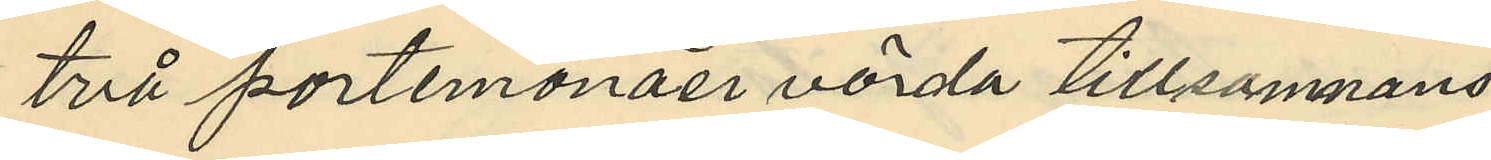två portemonäer värda tillsamnans
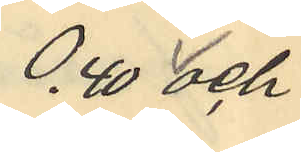0,40 och
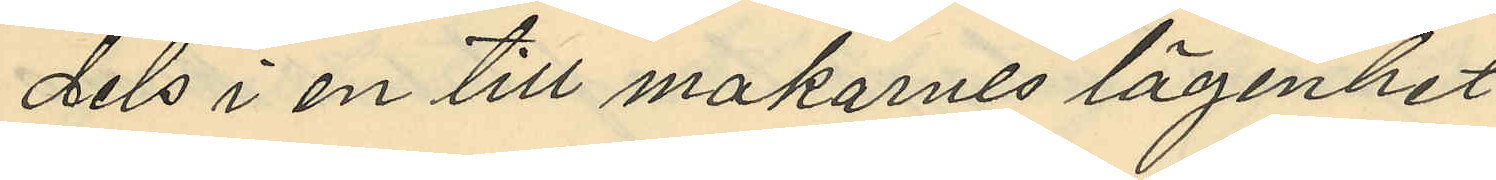dels i en till makarnes lägenhet
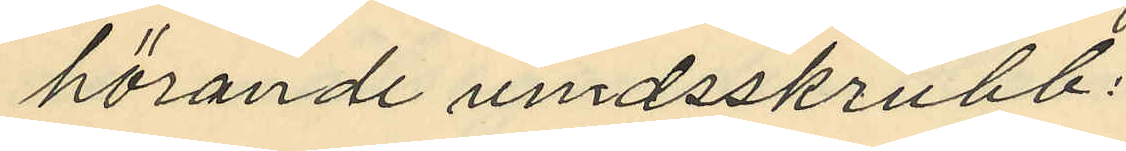hörande vindsskrubb:
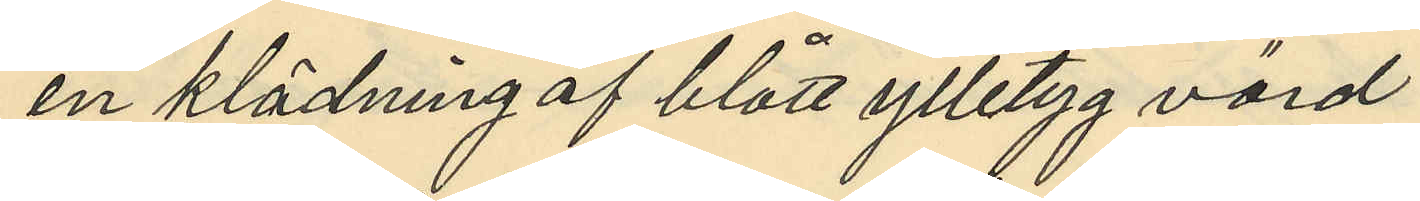en klädning af blått ylletyg värd
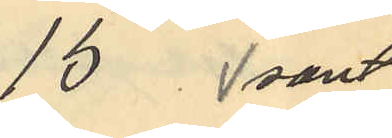15  samt
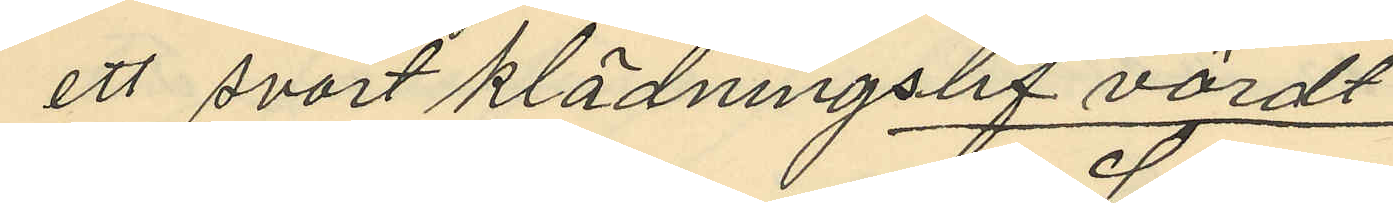ett svart klädningslif värdt
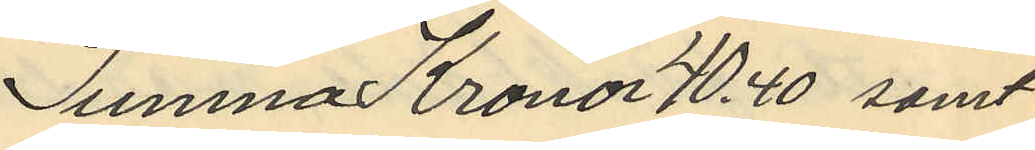Summa Kronor 40.40 samt
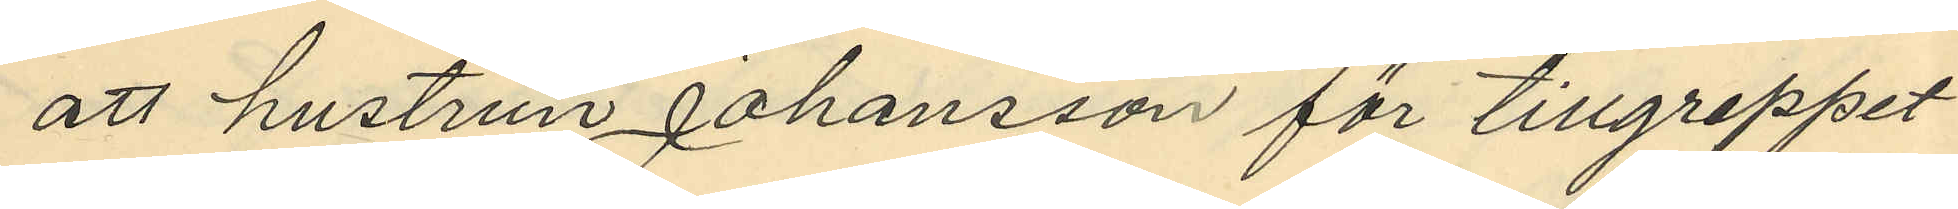att hustrun Johansson för tillgreppet
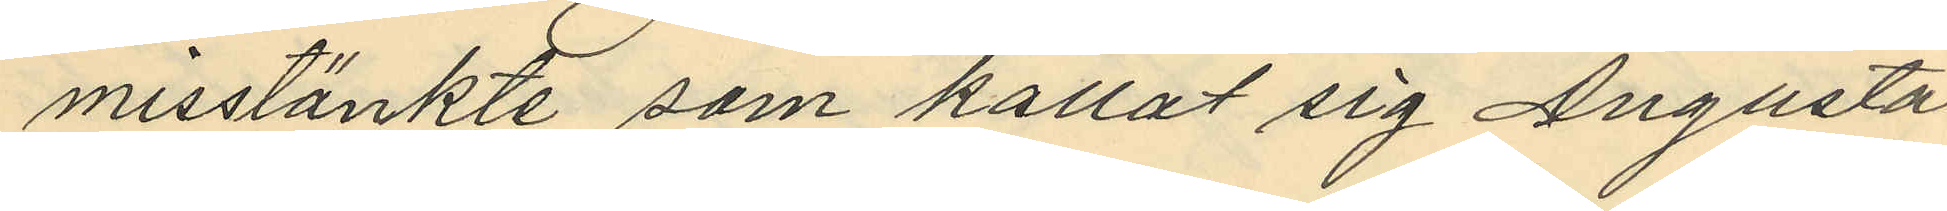misstänkte som kallat sig Augusta
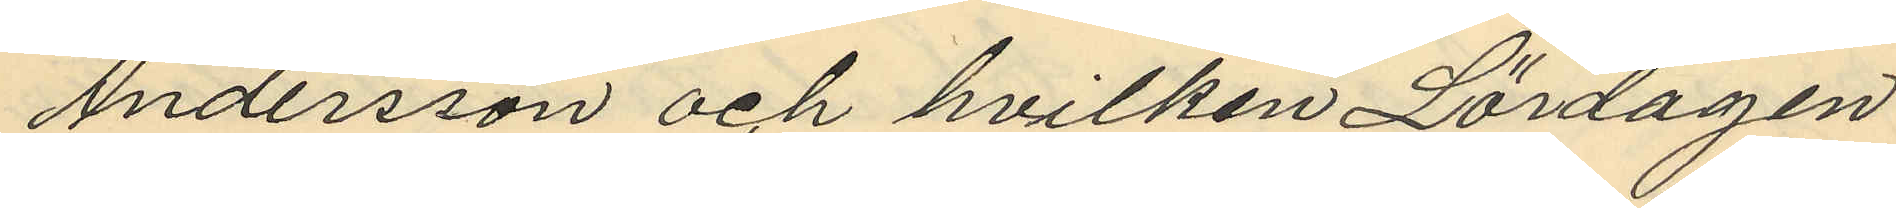Andersson och hvilken Lördagen
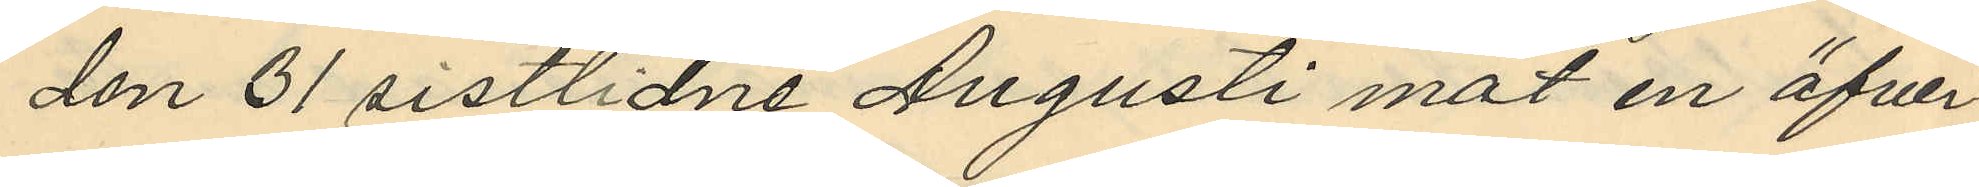den 31 sistlidne Augusti mot en öfver¬
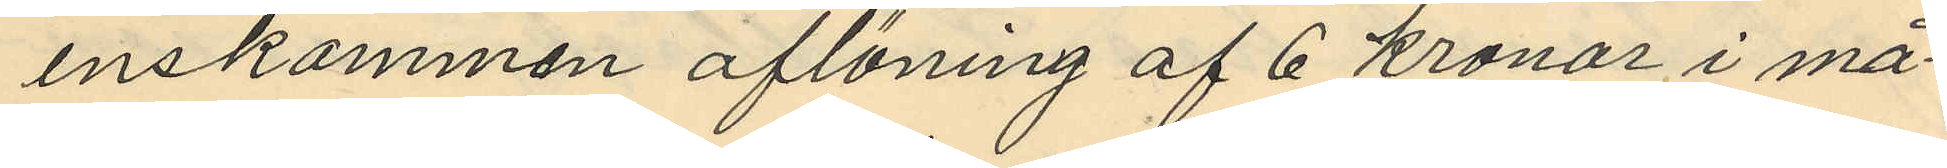enskommen aflöning af 6 kronor i må¬
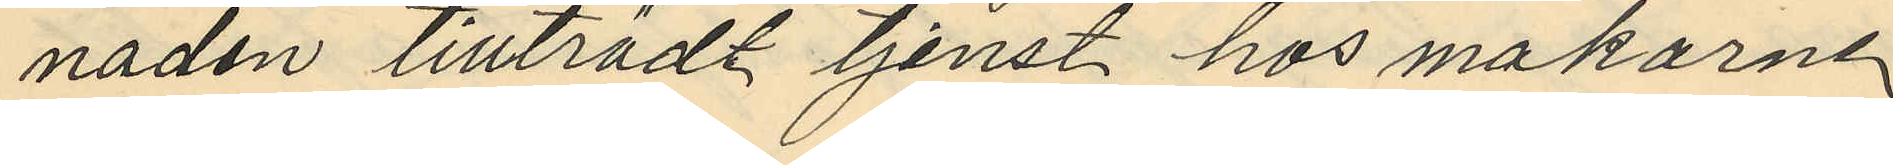naden tillträdt tjenst hos makarne
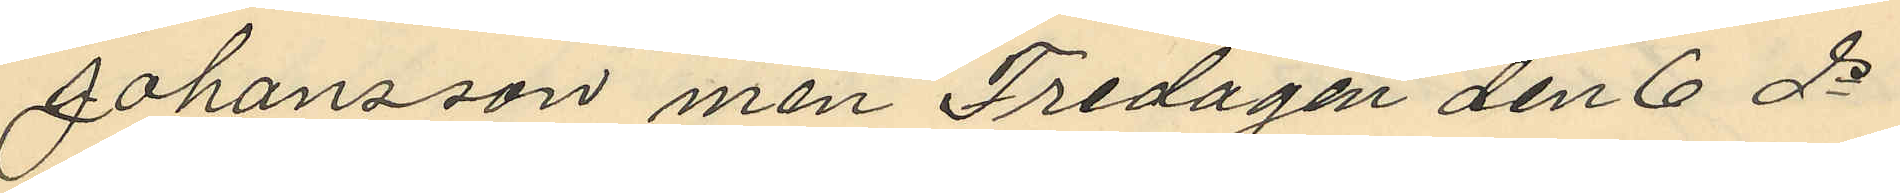Johansson men Fredagen den 6 ds
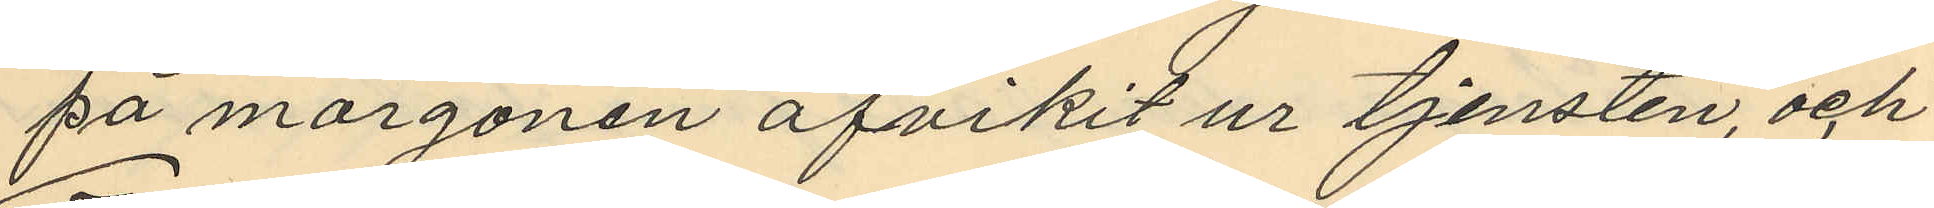på morgonen afvikit ur tjensten, och
